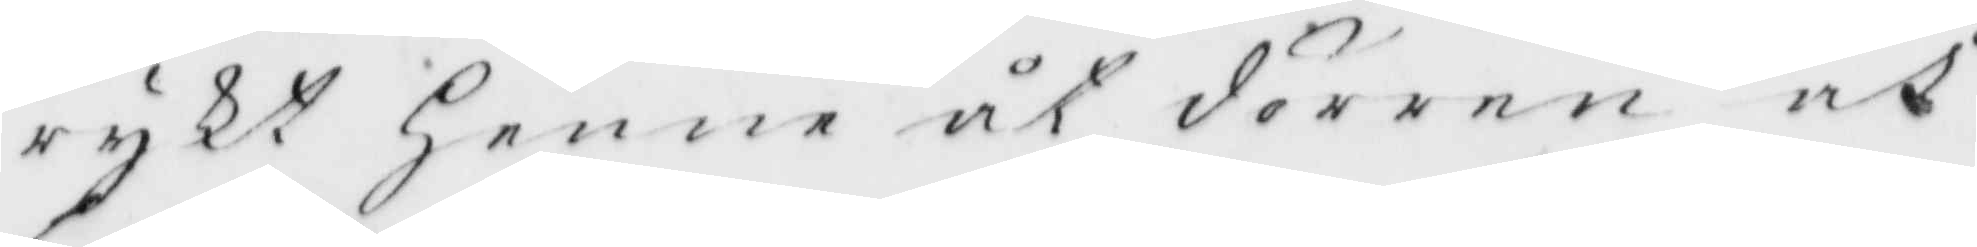rykt henne åt dörren åt
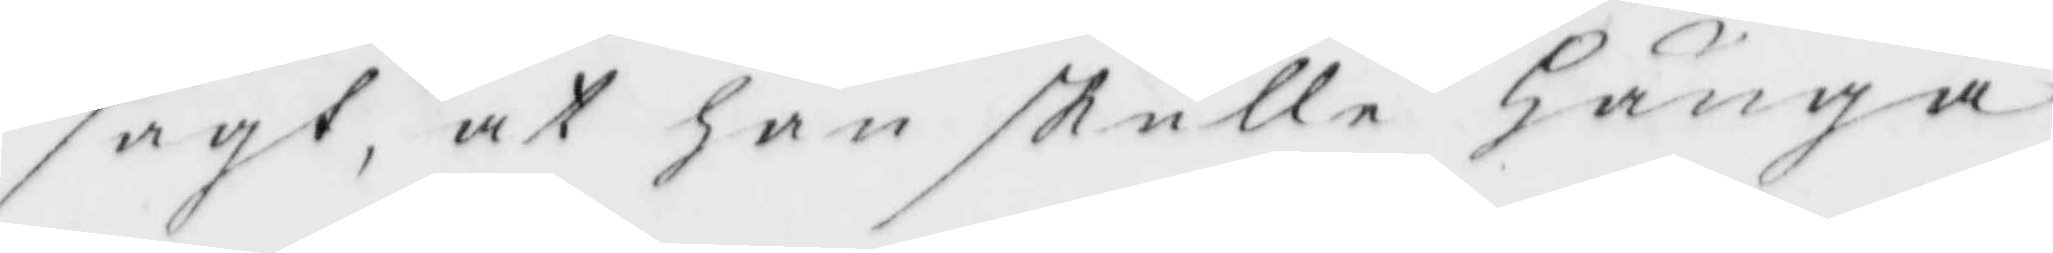sagt, at han skulle hänga
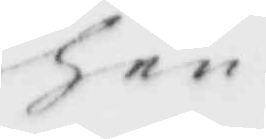hen¬
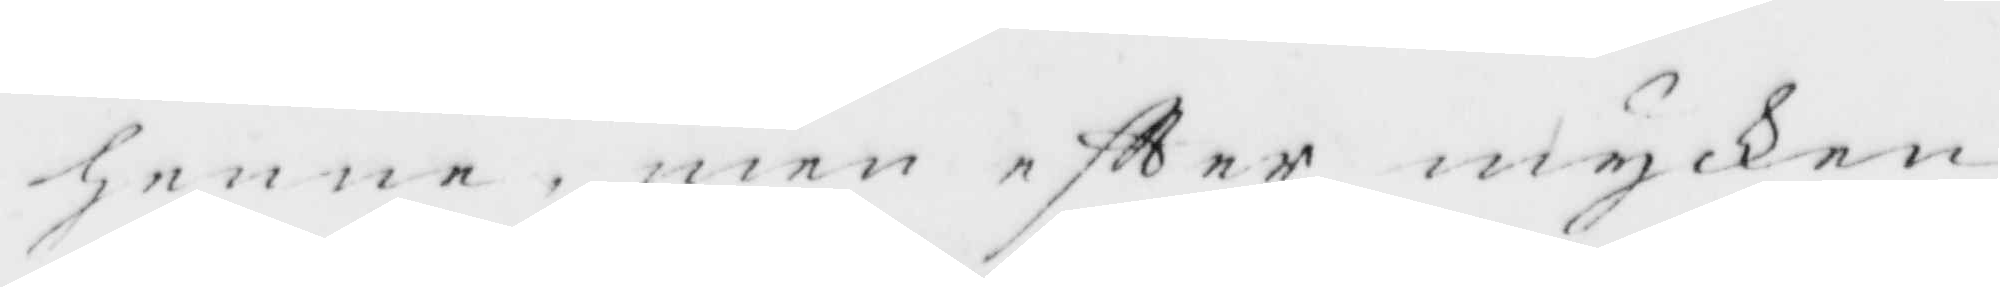henne, men eftter mycken
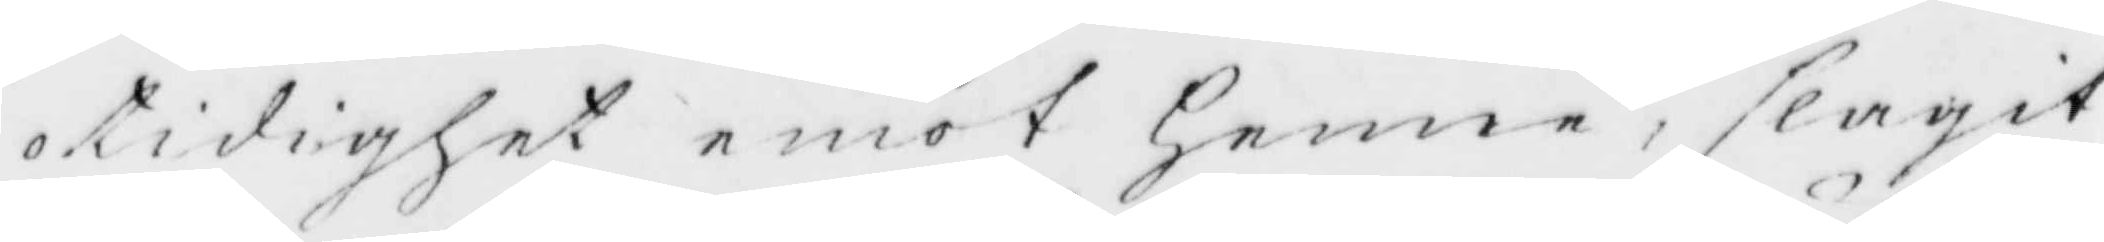otidighet emot Henne, slagit
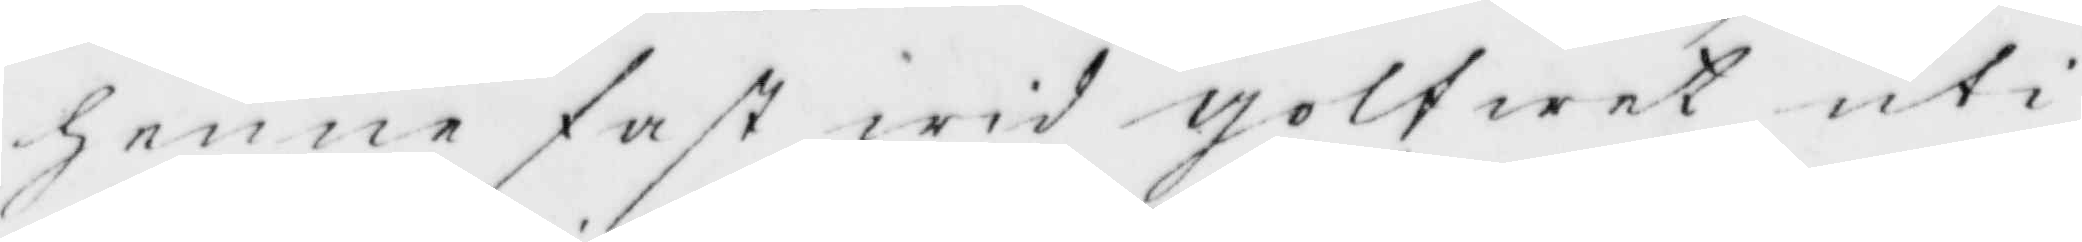henne fast wid golfwet uti
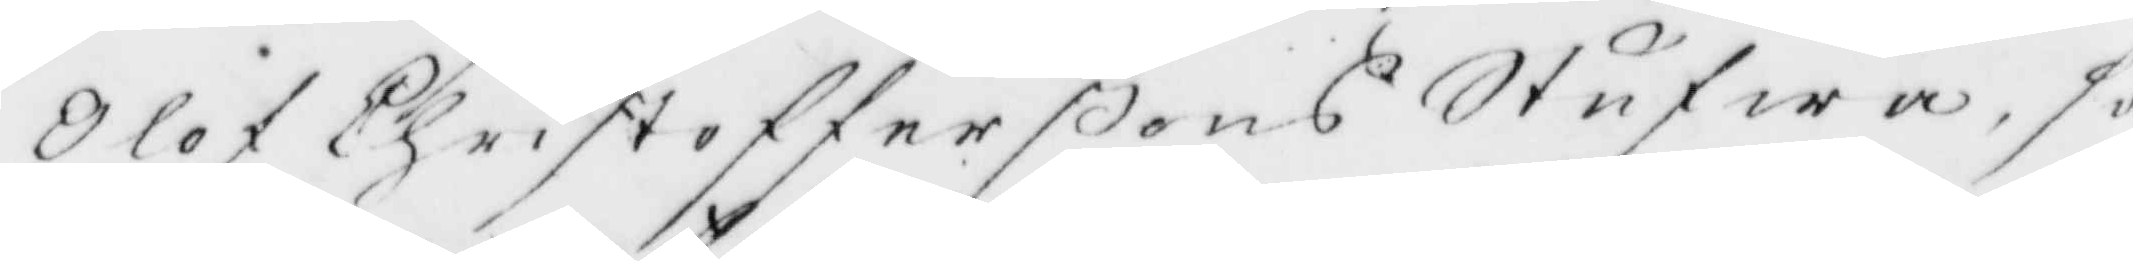Olof Christofferßons Stufwa, 
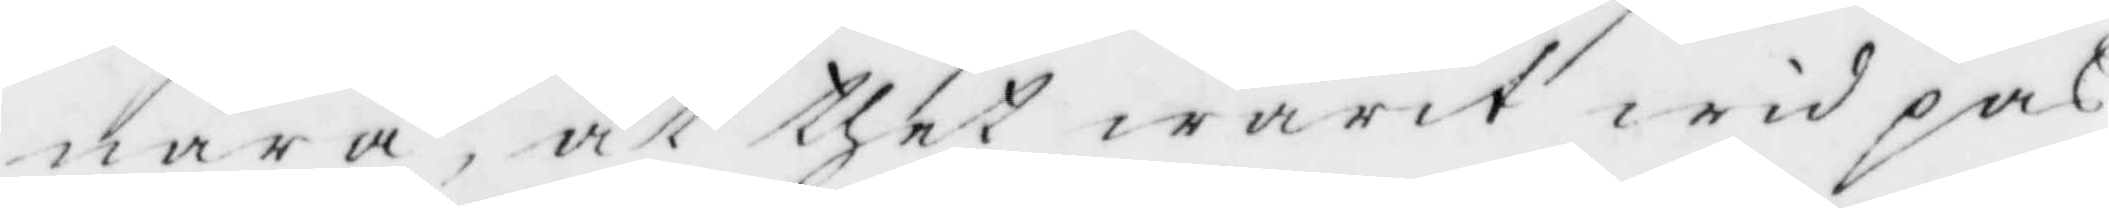nära, at thet warit wid pas
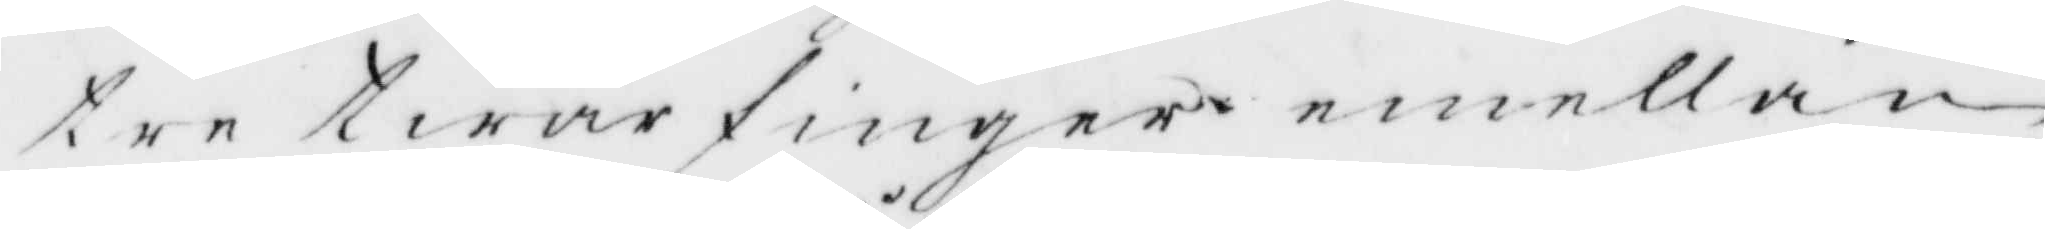tre twärfinger emellan
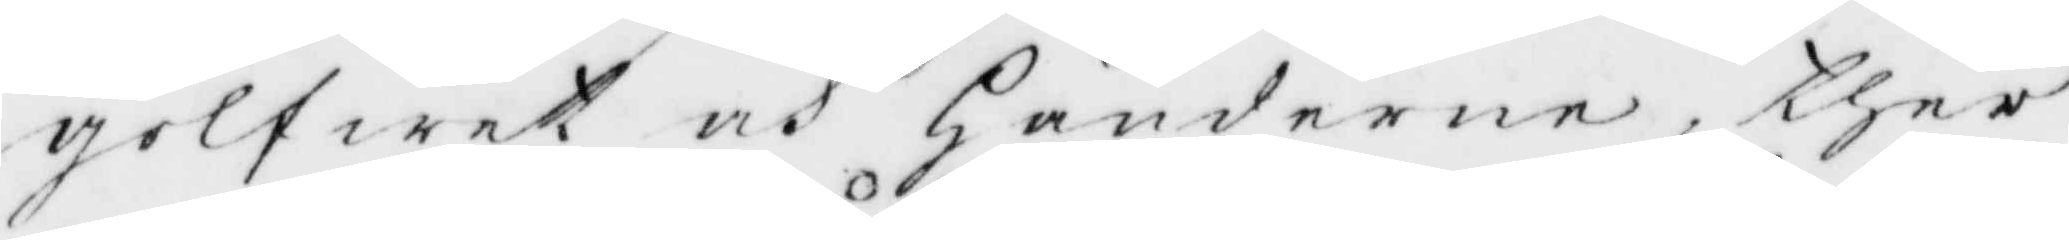golfwet och Händerne, ther
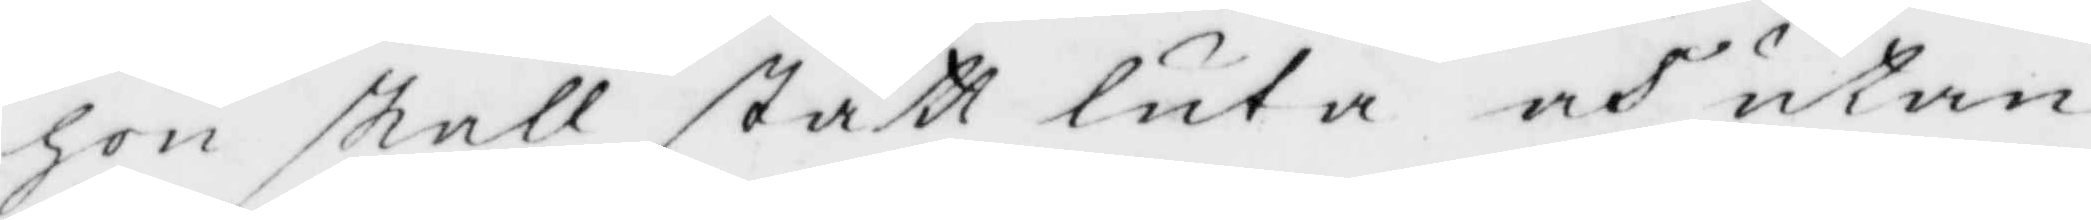hon skall stått luta och utan
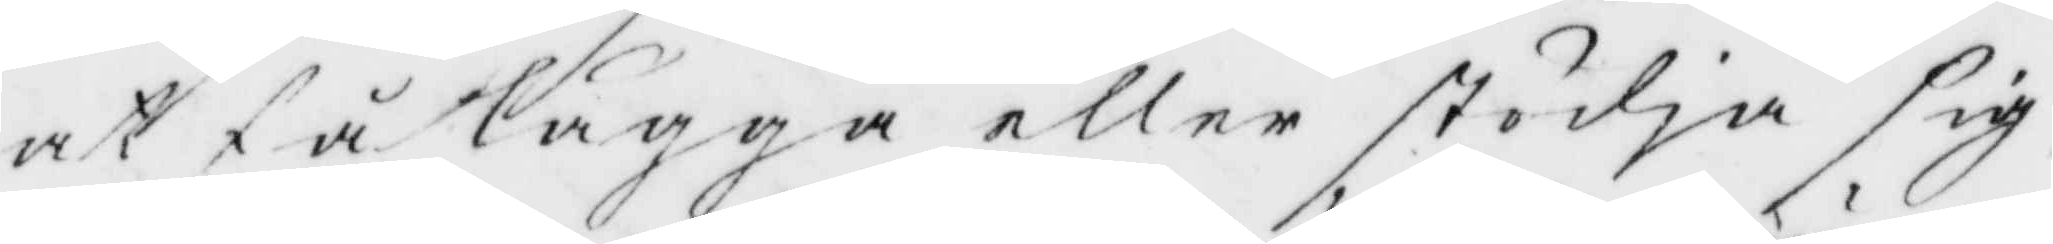att få lägga eller stödja sig,
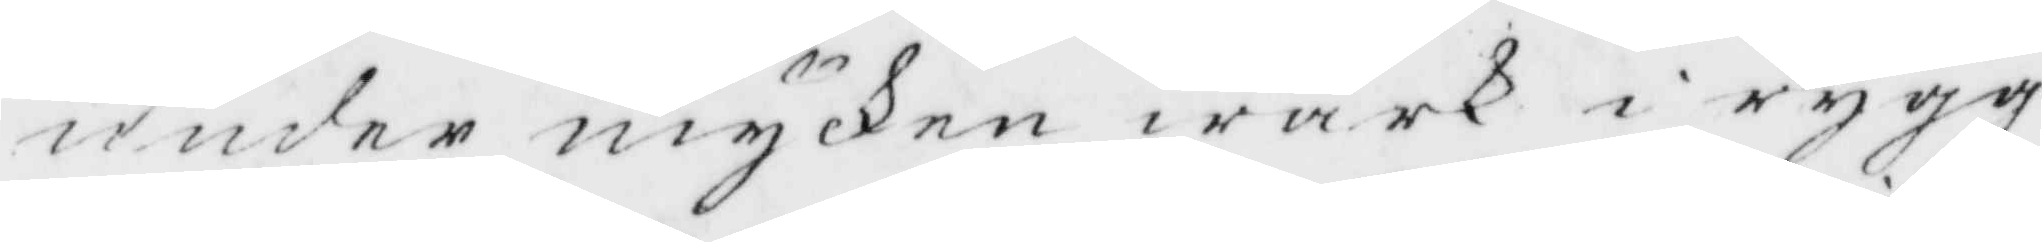under mycken wärk i rygg
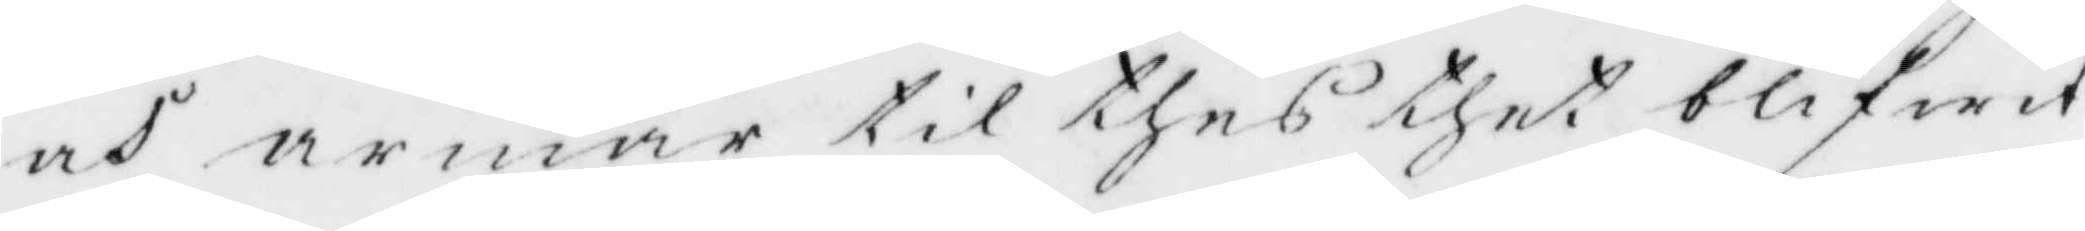och armar til thet blifwit
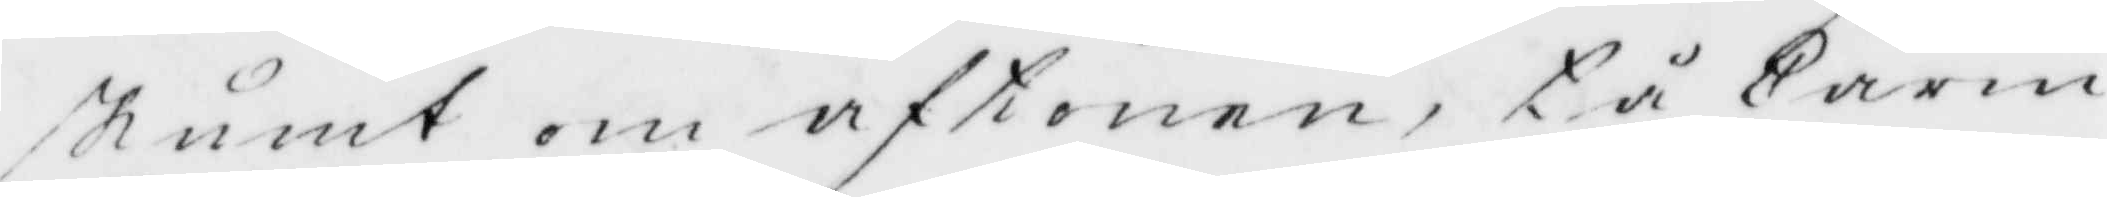skumt om aftonen, tå Carin
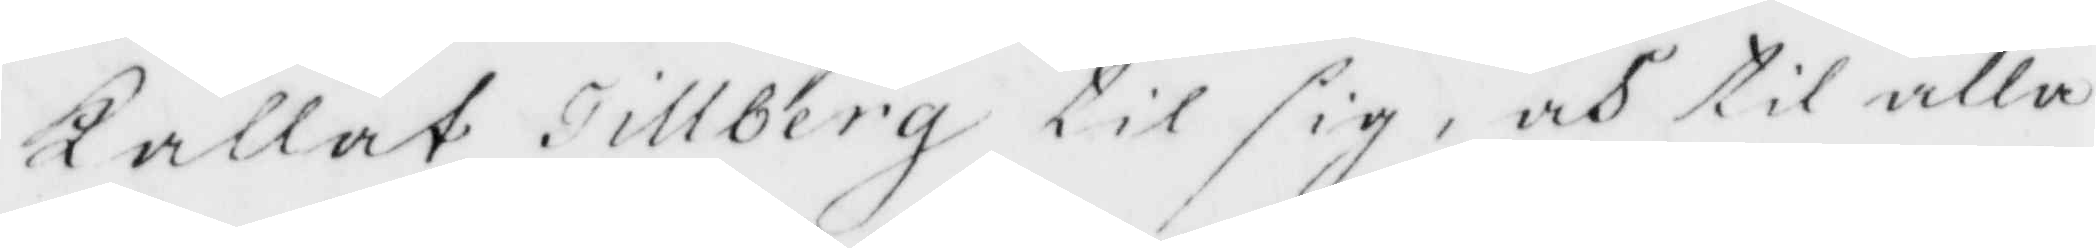Kallat Tillberg til sig, och til alla
